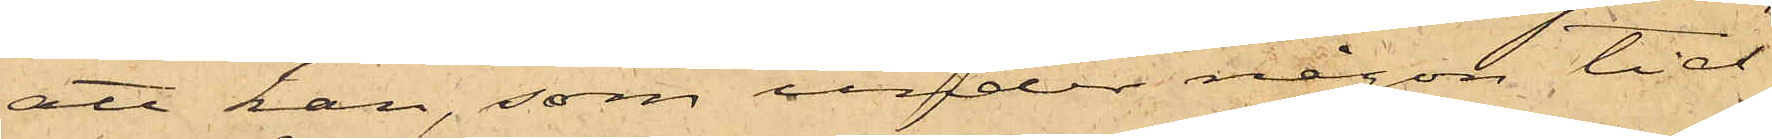att han, som under någon tid
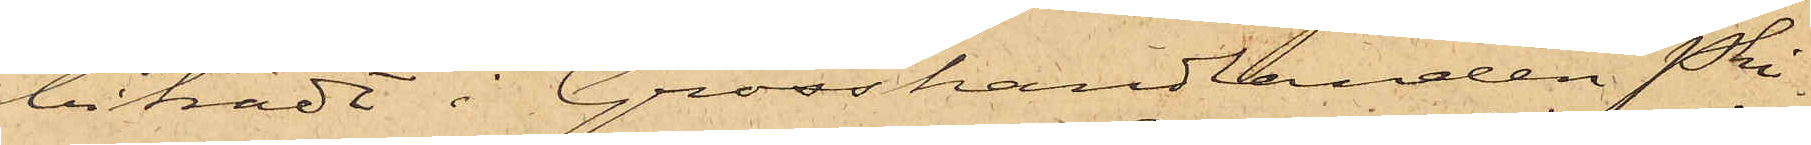biträdt i Grosshandlanden Phi¬
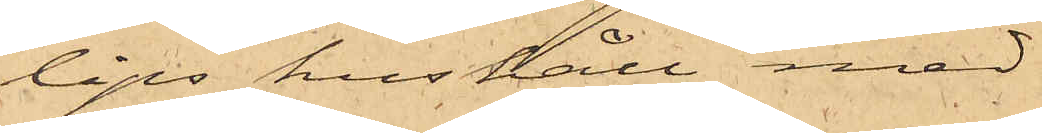lips hushåll med
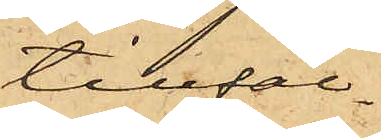tillfäl¬
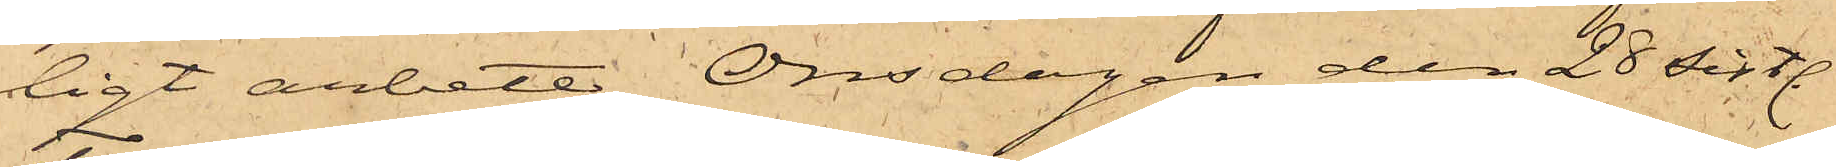ligt arbete, Onsdagen den 28 sistl.
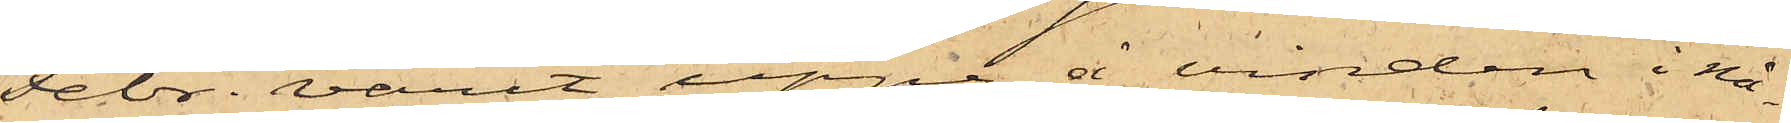Febr. varit uppe å vinden i nå¬
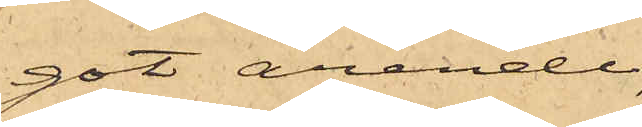got ärende,
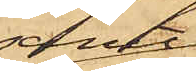samt
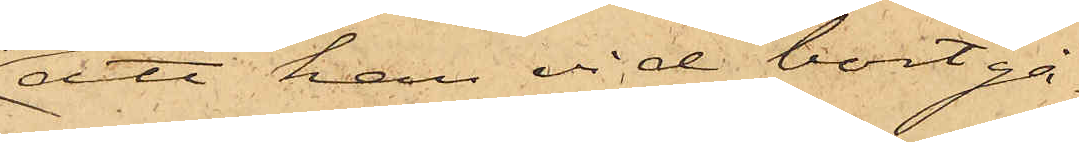att han vid bortgå¬
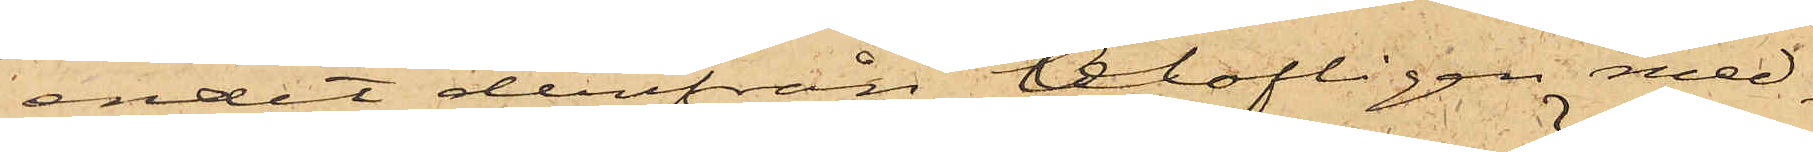endet derifrån olofligen med¬
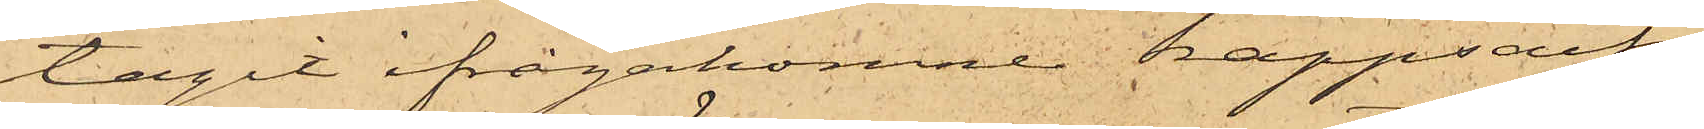tagit ifrågakomne kappsäck,
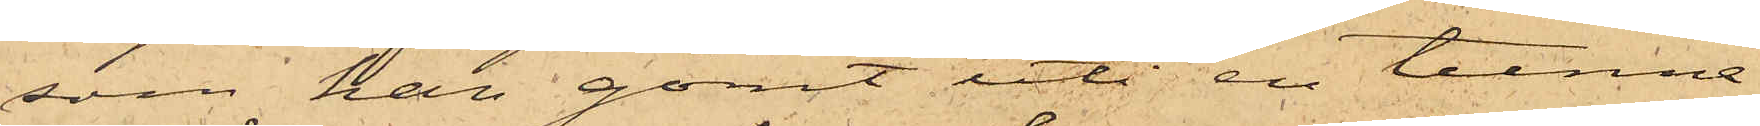som han gömt uti en tunna
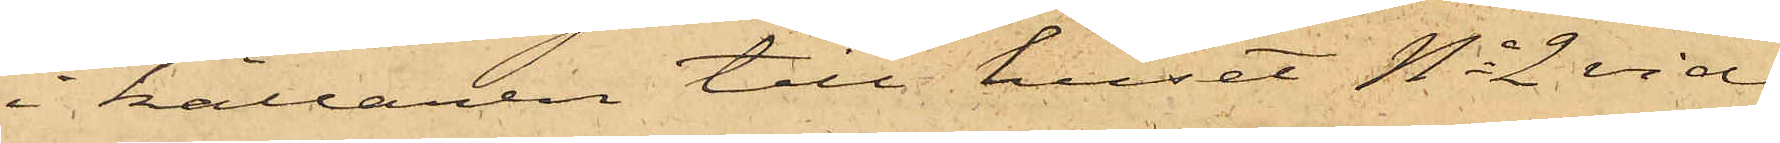i källaren till huset No 2 vid
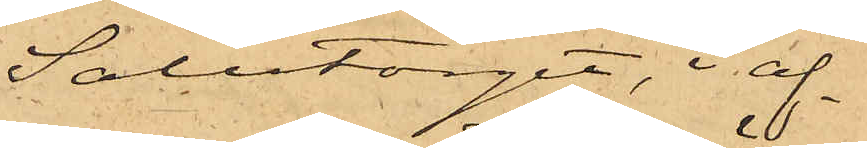Salutorget, i af¬
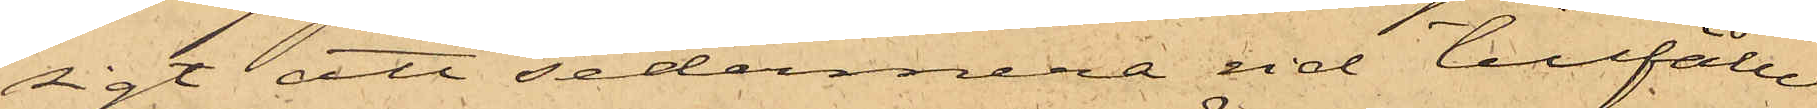sigt att sedermera vid tillfälle
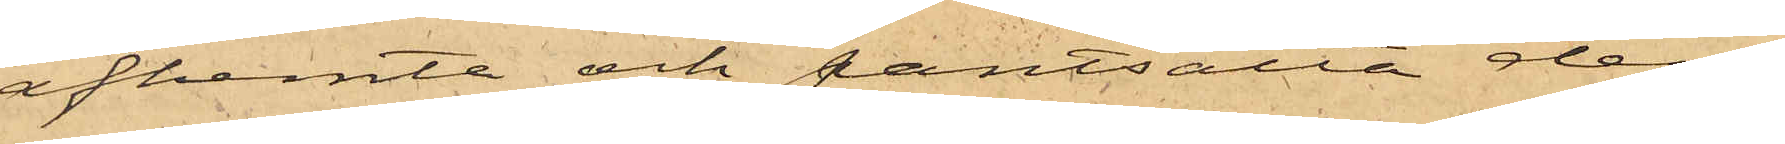afhemta och pantsatta den¬
